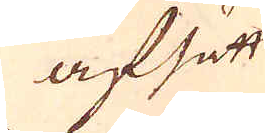afsätt
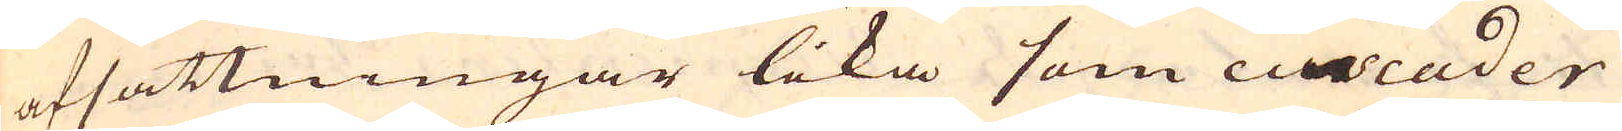afsättningar lika som cascader
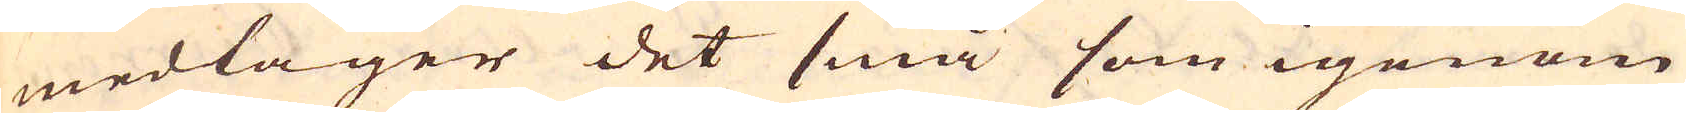medtager det små som igenom
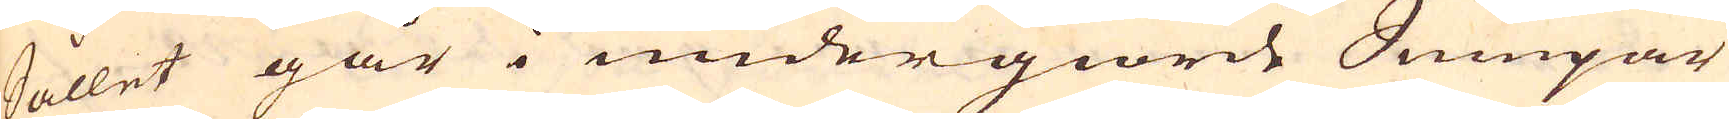Sållet går i undergiorde Sumpar
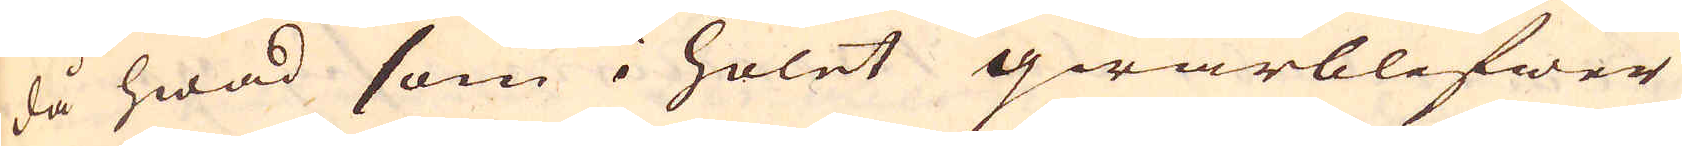då hwad som i holet qwarblifwer
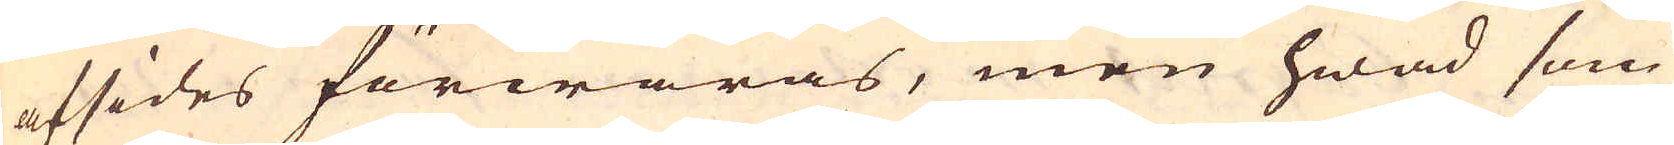afsides förwaras, men hwad som
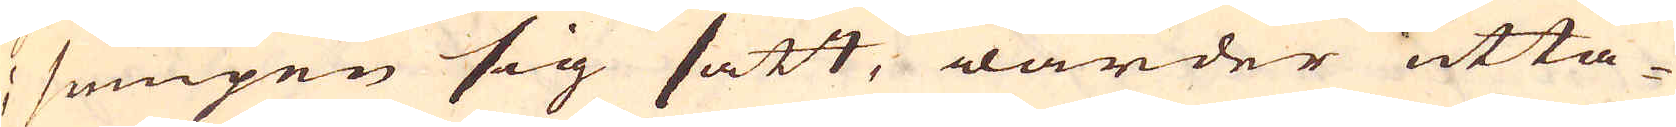i sumpen sig satt, warder utta-
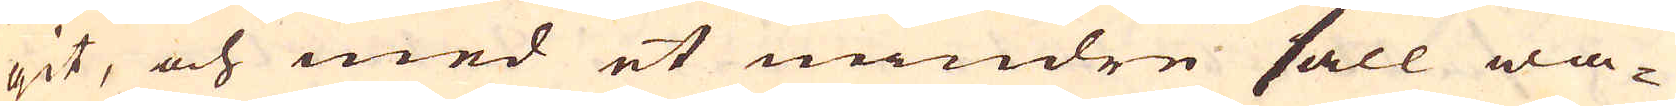git, och med et mindre såll wa-
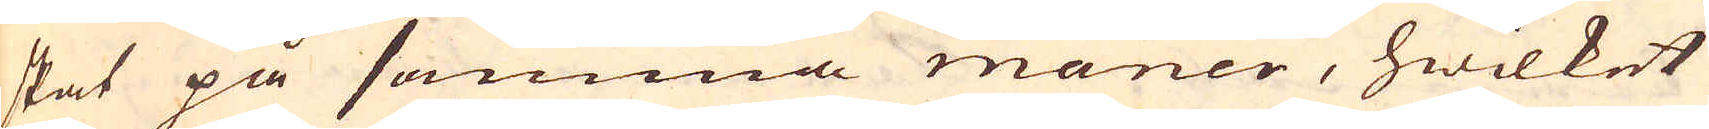skat på samma maner, hwilket
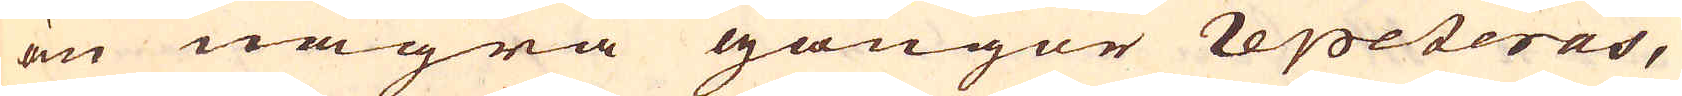än några gångor repeteras,
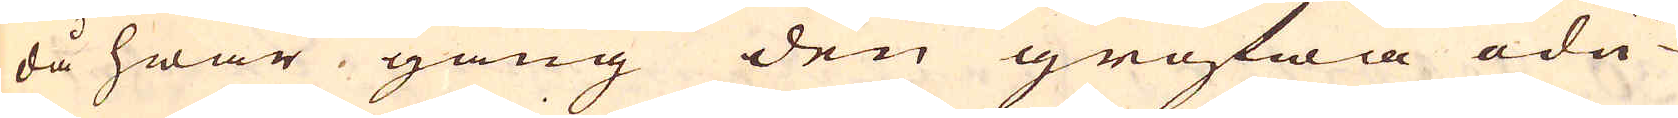då hwar gång den grofwa odu-
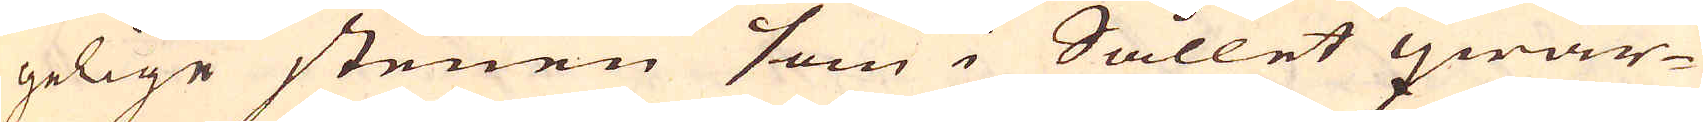gelige stenen som i Sållet qwar-
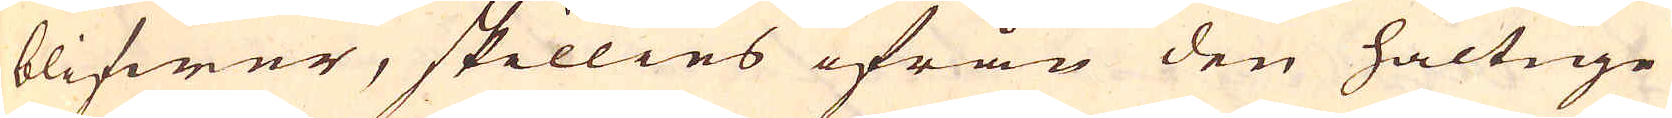blifwer, skillies ifrån den haltige
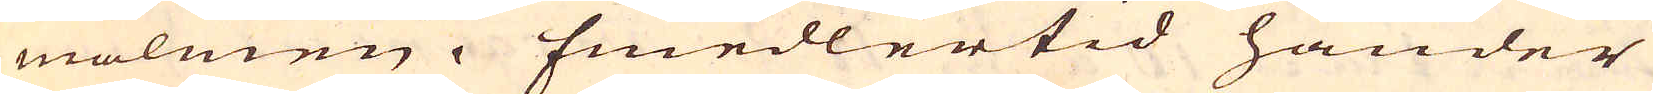malmen. Emedlertid händer
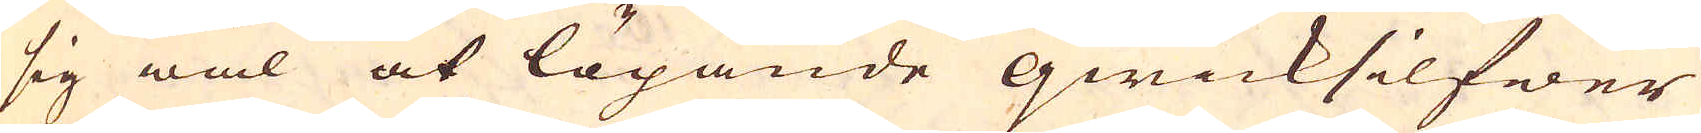sig wäl at lögande qwicksilfwer
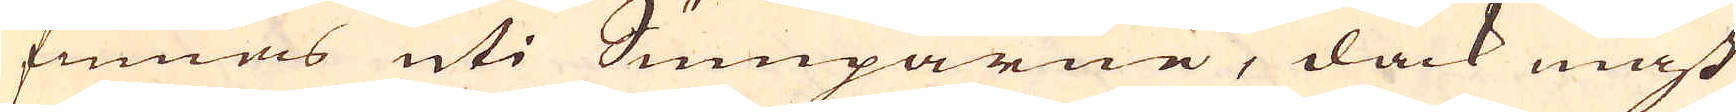finnas uti Sumparne, dåck mäst
